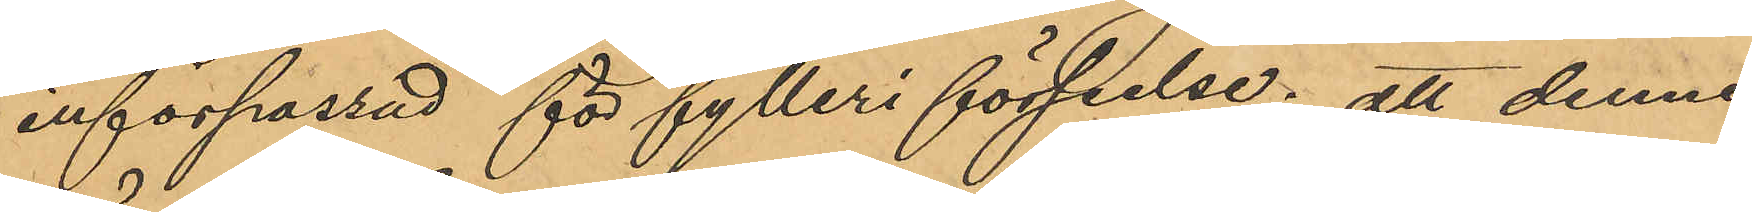införpassad för fylleri förseelse; att denne
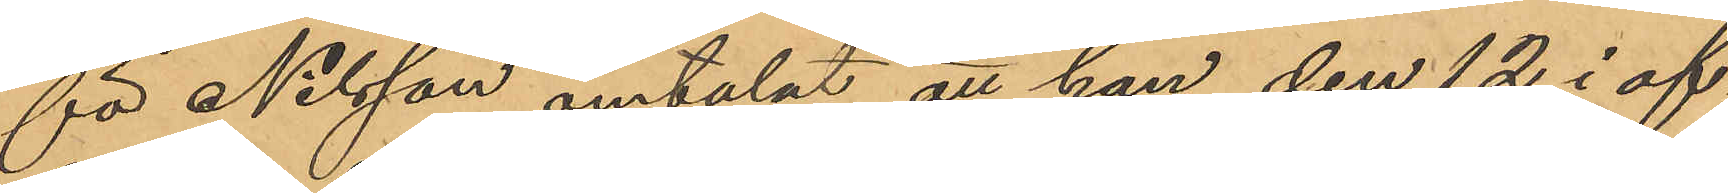för Nilsson omtalat att han den 12 i of¬
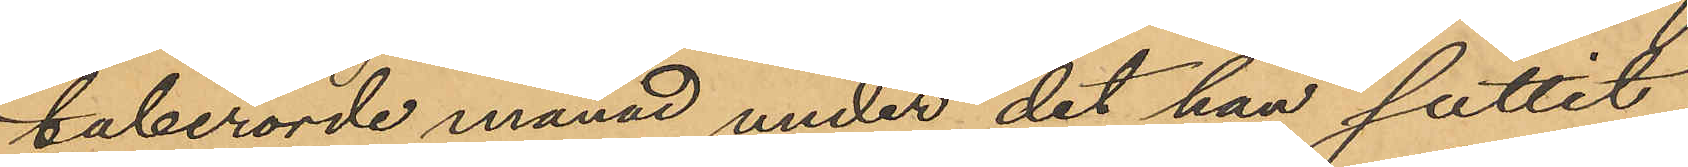taberörde månad under det han suttit
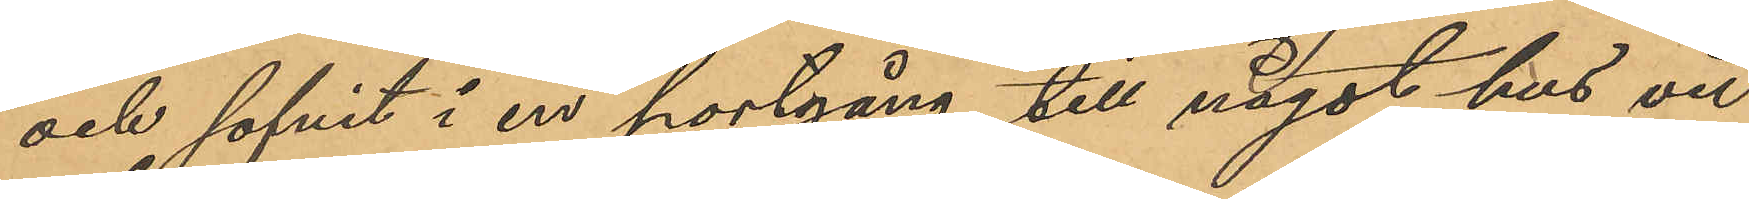och sofvit i en portgång till något hus vid
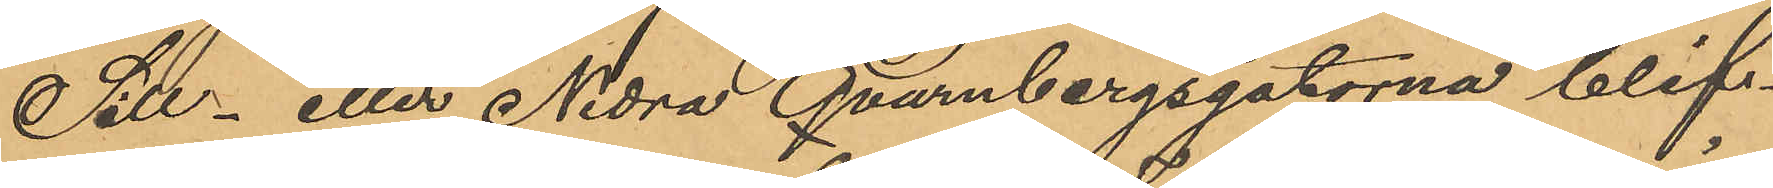Sill- eller Nedra Qvarnbergsgatorna blif¬
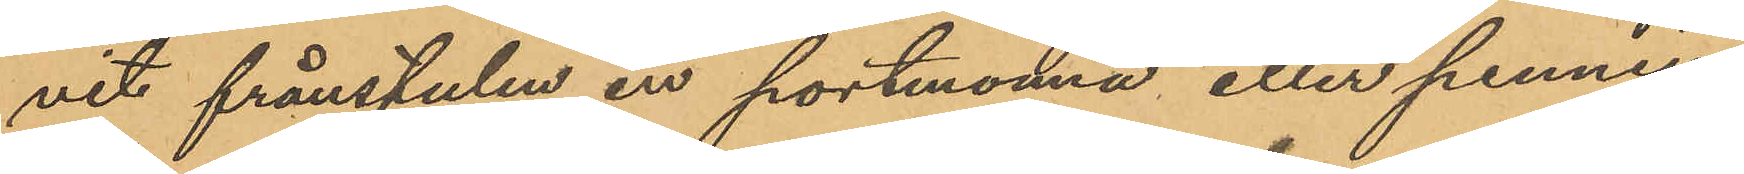vit frånstulen en portmonnä eller penning¬
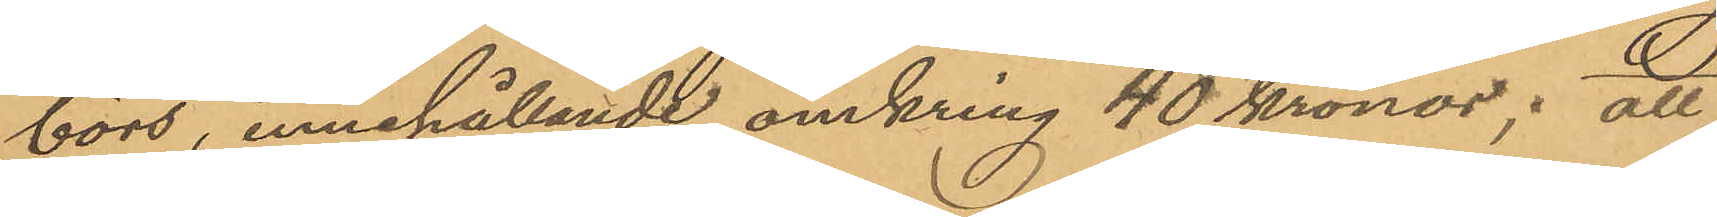börs, innehållande omkring 40 kronor; att
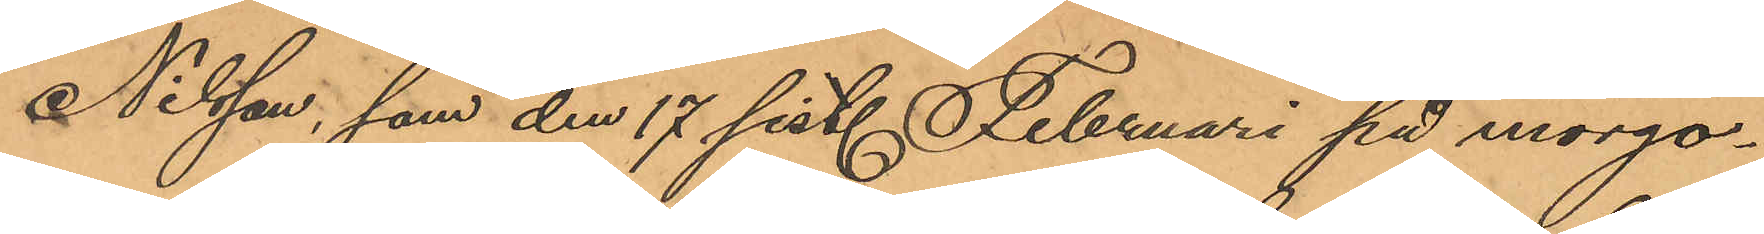Nilsson, som den 17 sist. Februari på morgo¬
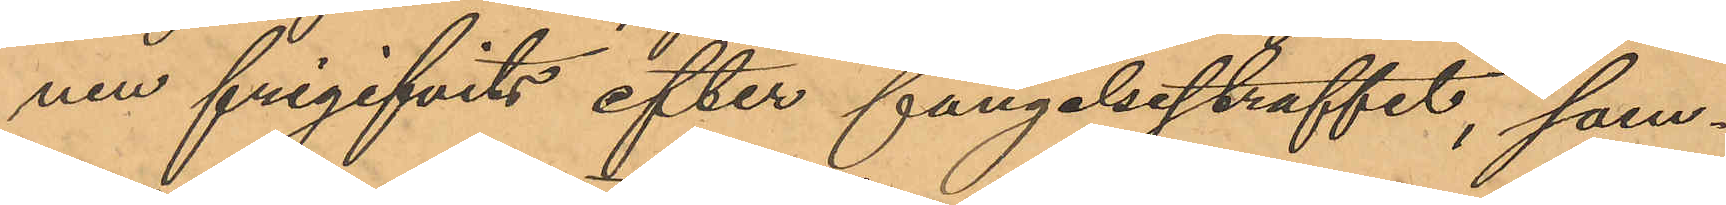nen frigifvits efter fängelsestraffet, sam¬
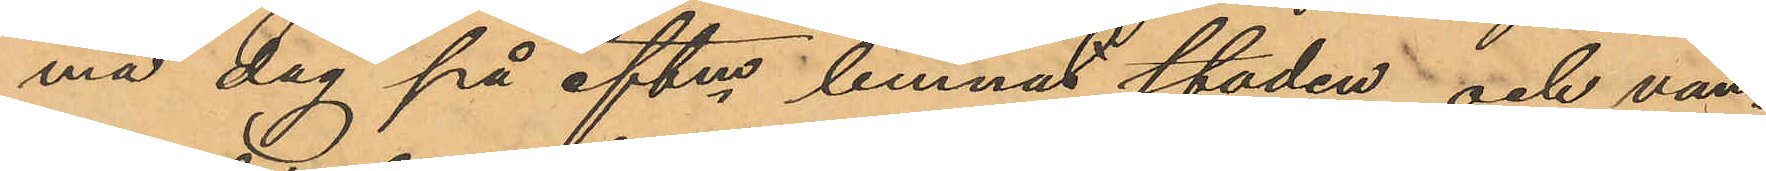ma dag på eftm lemnat staden och van¬
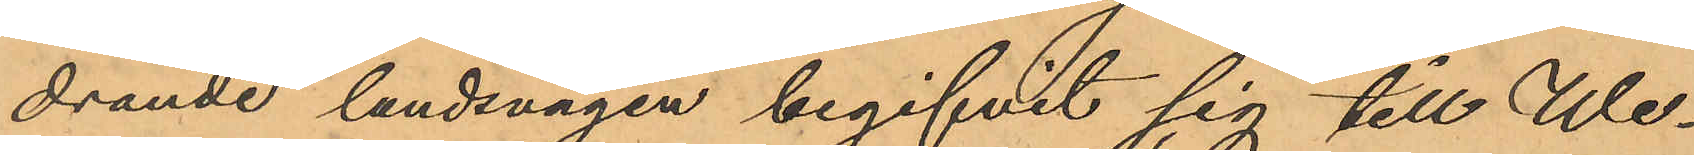drande landsvägen begifvit sig till Wer¬
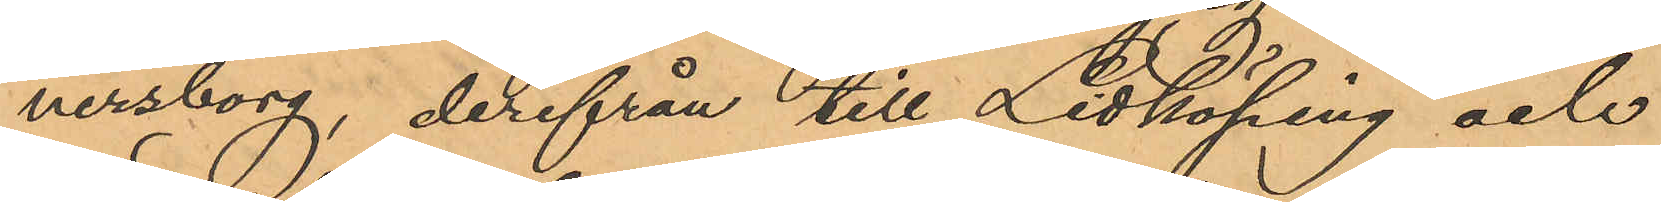nersborg, derifrån till Lidköping och
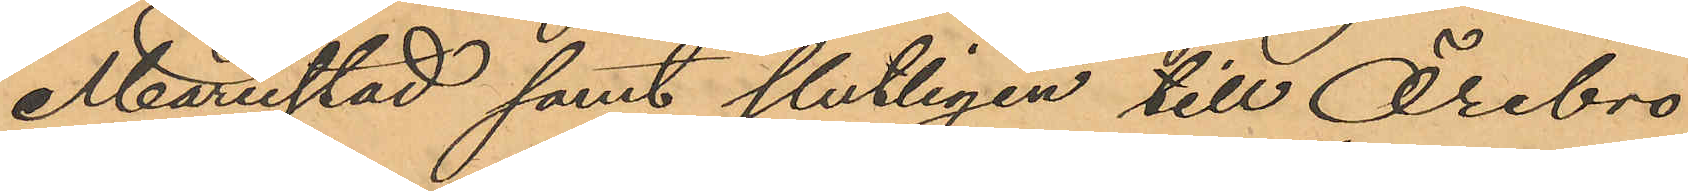Mariestad samt slutligen till Örebro
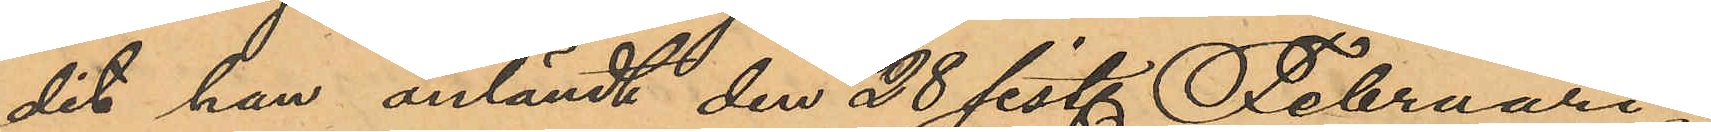dit han anländt den 28 sist. Februari;
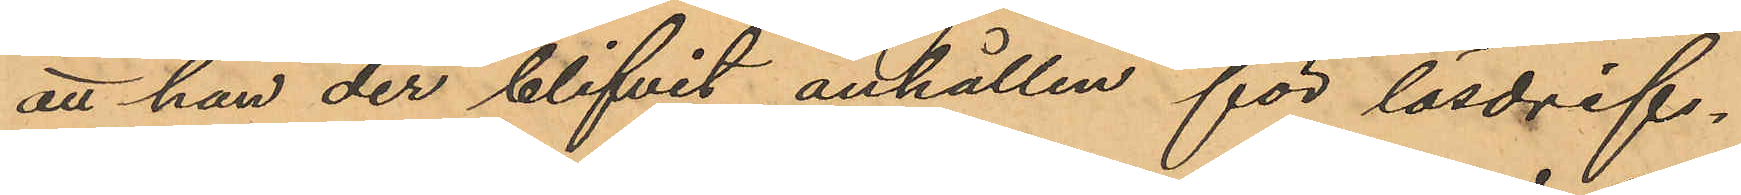att han der blifvit anhållen för lösdrif¬
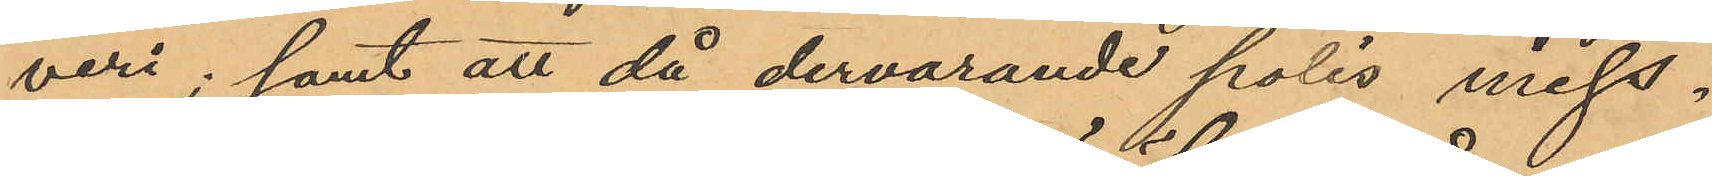veri; samt att då dervarande polis miss¬
